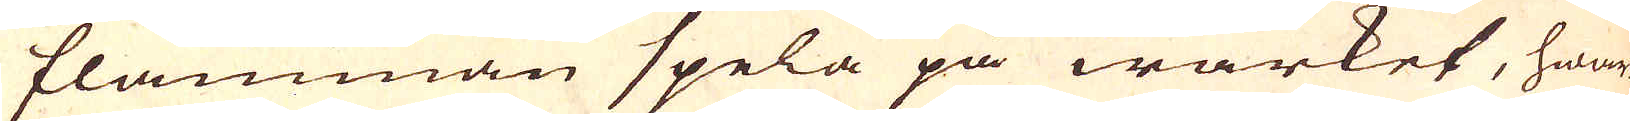flamman spela på wärket, hwar
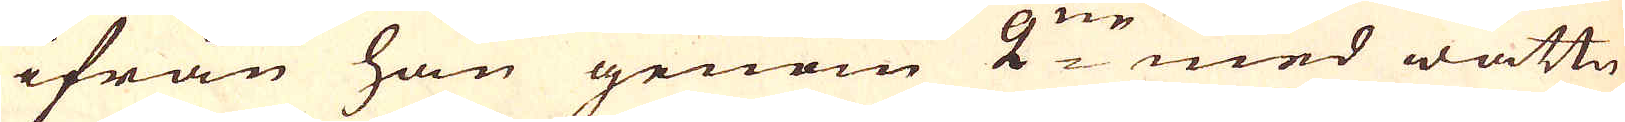ifrån han genom 2:ne med wattn
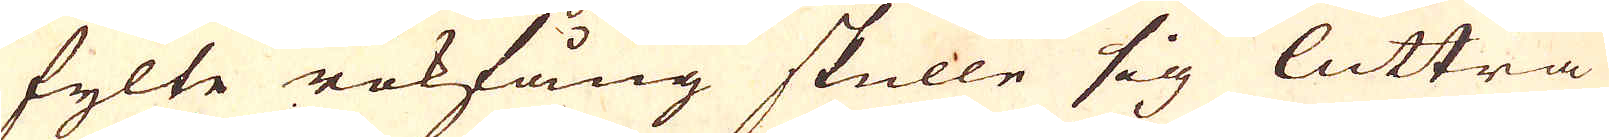fylte rökfång skulle sig luttra
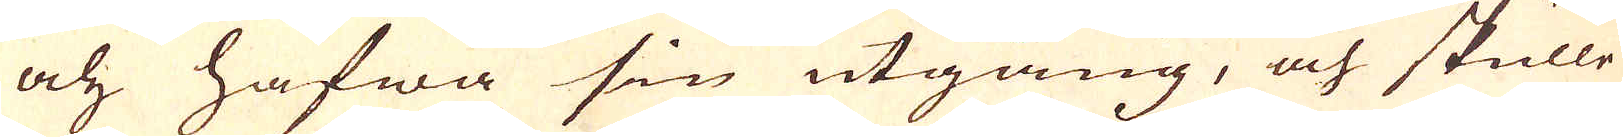och hafwa sin utgång, och skulle
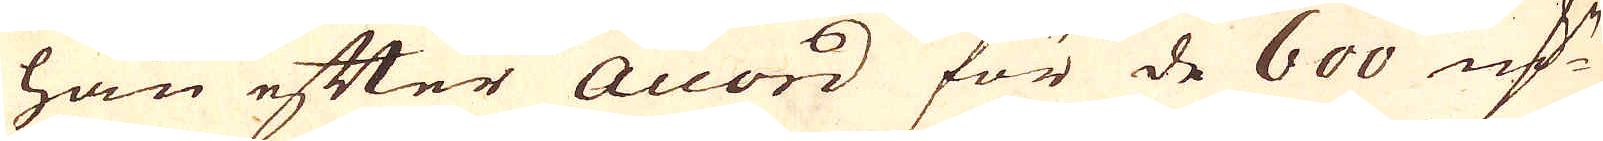han efter Accord för de 600 marker
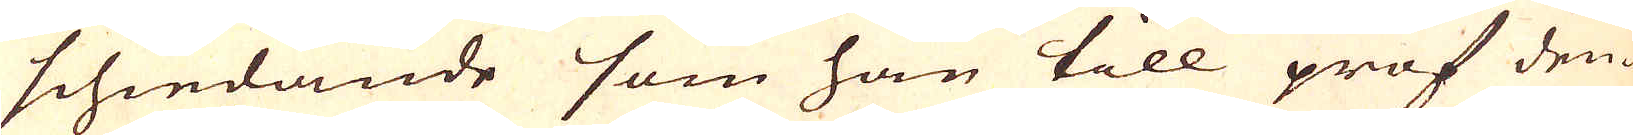schiedande som han till prof den-
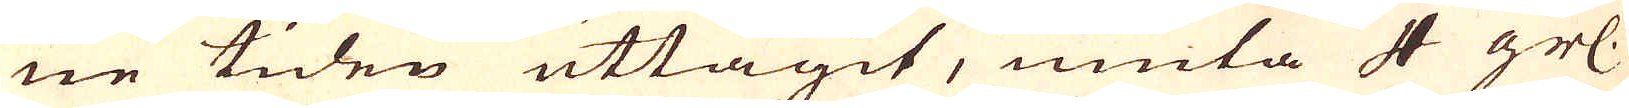ne tiden uttagit, niuta 4 grs.
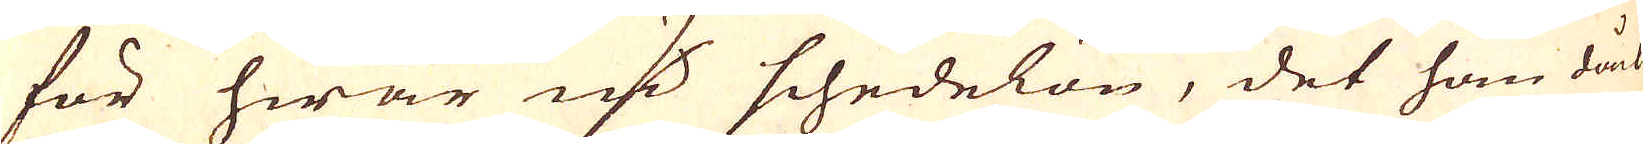för hwar marker schedelön, det han dåck
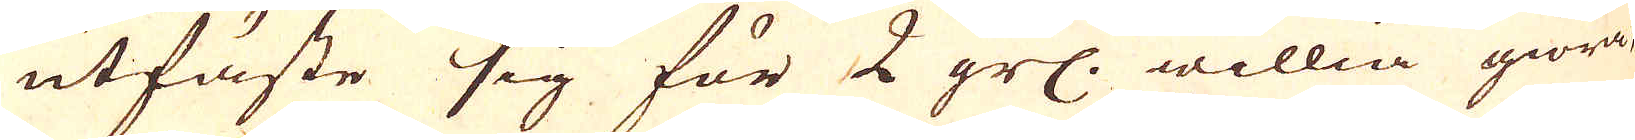utfäste sig för 2 grs. willia giöra
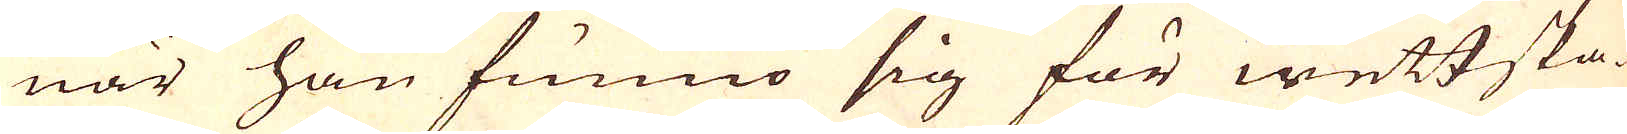när han funno sig för wettska-
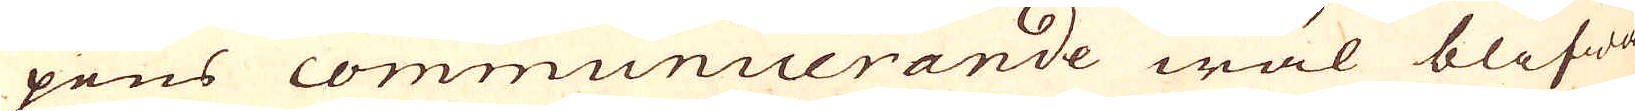pens communicerande wäl blifwa
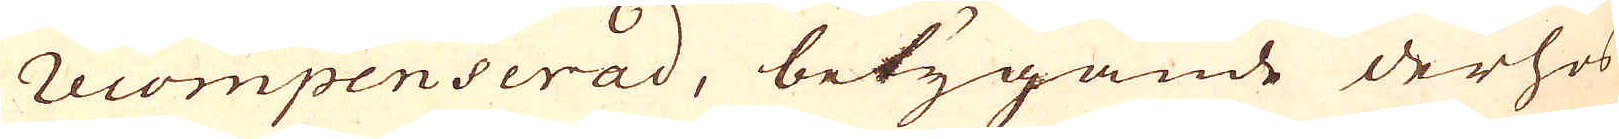recompencerad, betygande derhos
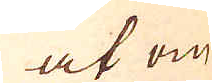at om
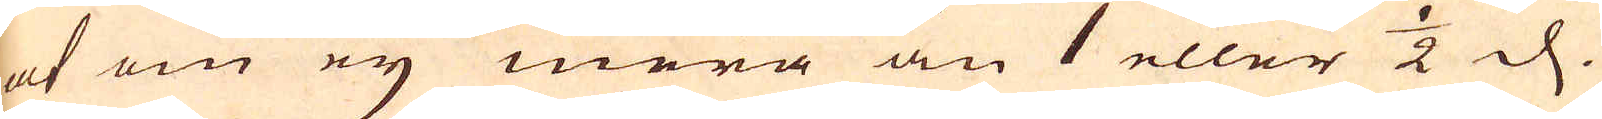at om eij mera än 1 eller 1/2 d.
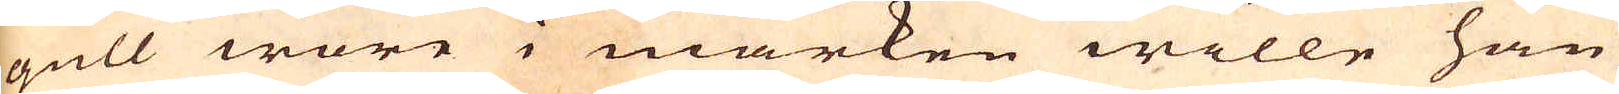gull wore i marken wille han
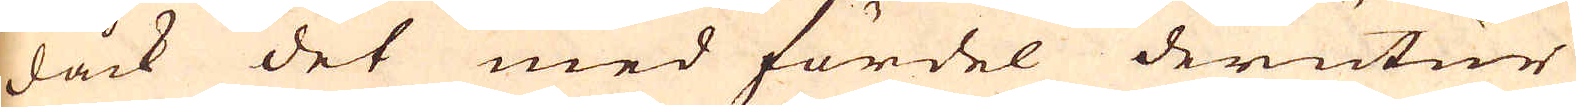dåck det med fördel derutur
